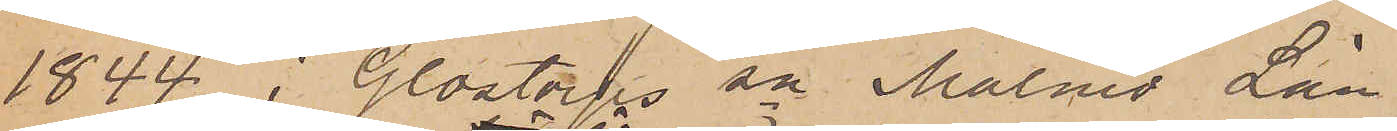1844 i Glostorps sn Malmö Län
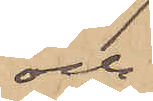och
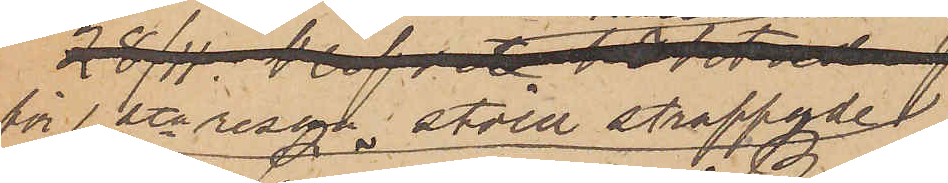2) för andra resan stöld
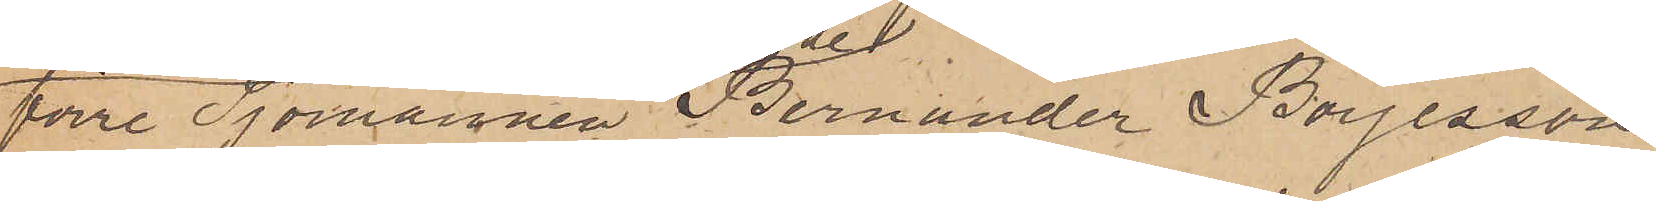förre Sjömannen Bernander Börjesson
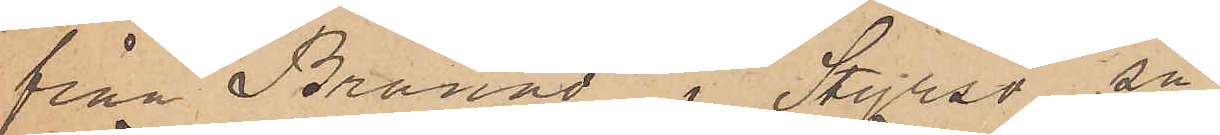från Brännö i Styrsö sn
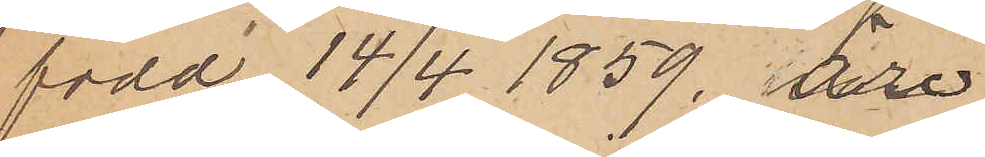född 14/4 1859, äro
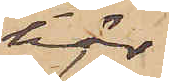här
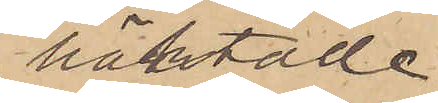häktade
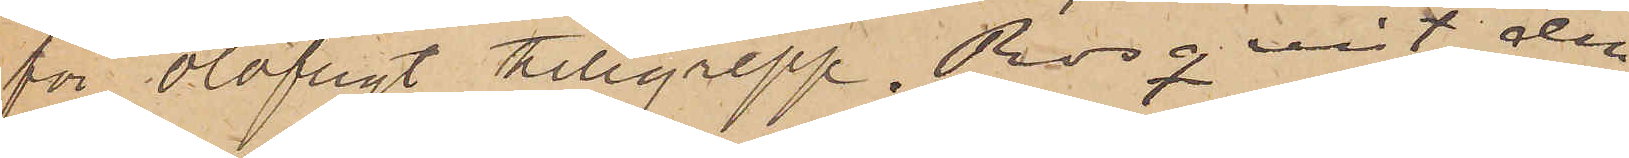för olofligt tillgrepp. Rosqvist den
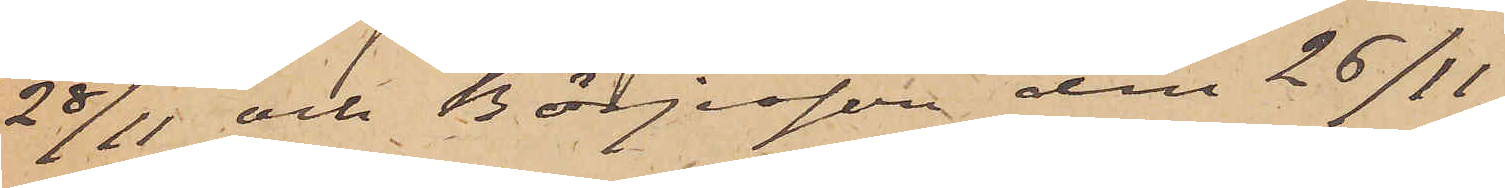28/11 och Börjesson den 26/11.
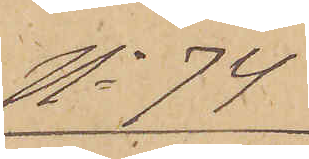No 74
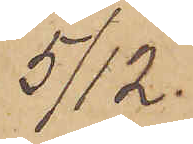5/12.
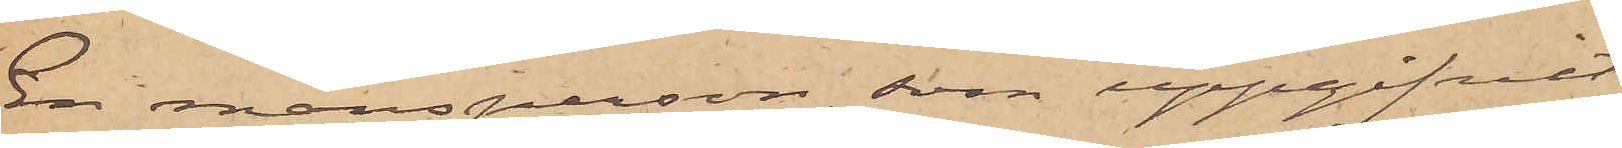En mansperson, som uppgifvit
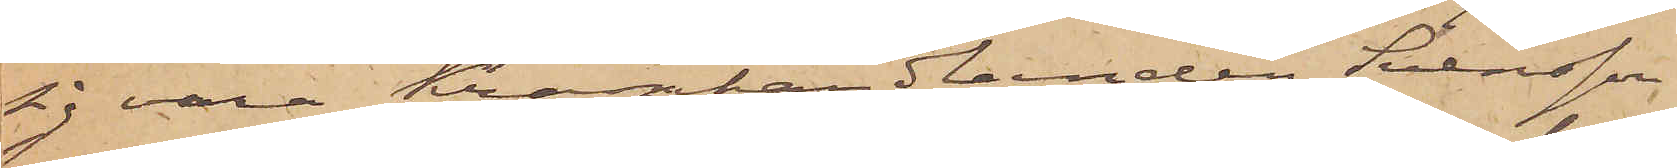sig vara Kramhandlanden Svensson
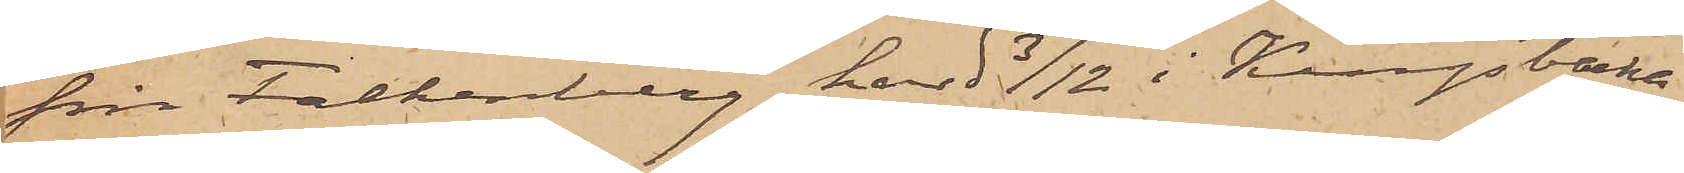från Falkenberg har d 3/12 i Kungsbacka
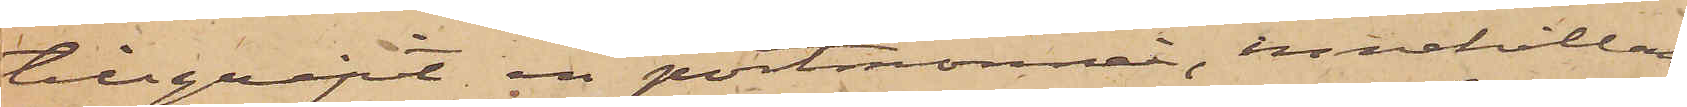tillgript en portmonnai, innehållan¬
